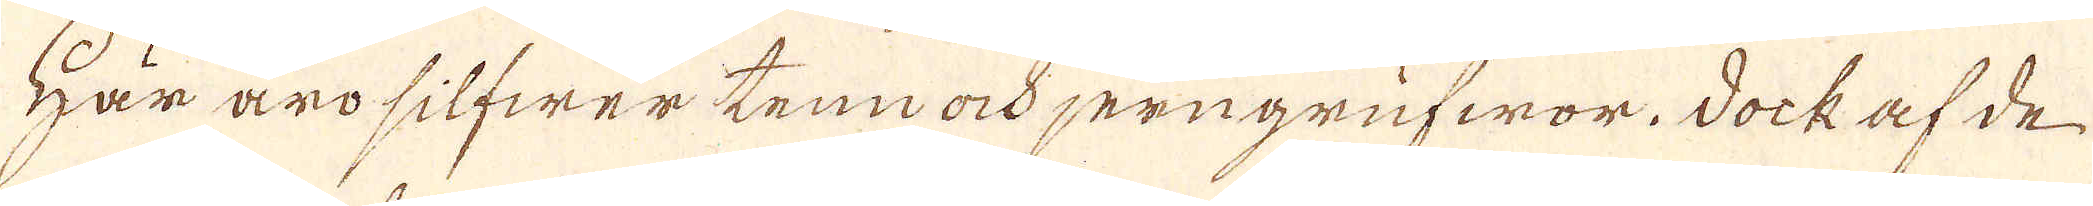Här äro silfwer tenn ock jerngrufwor. Dock af de
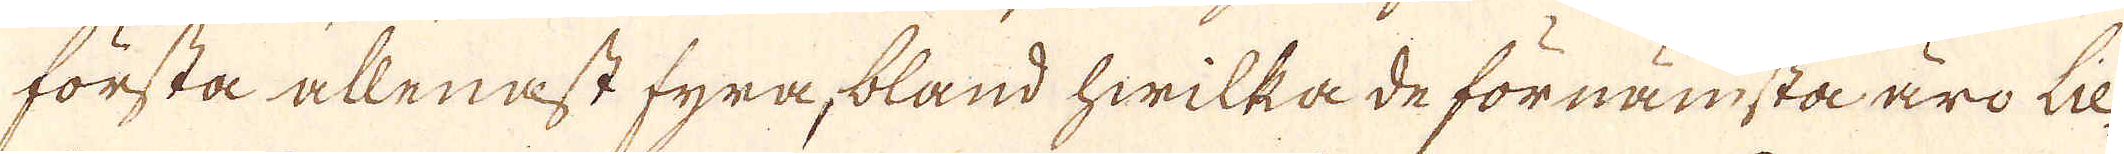första allenast fyra, bland hwilka de förnämsta äro lie-
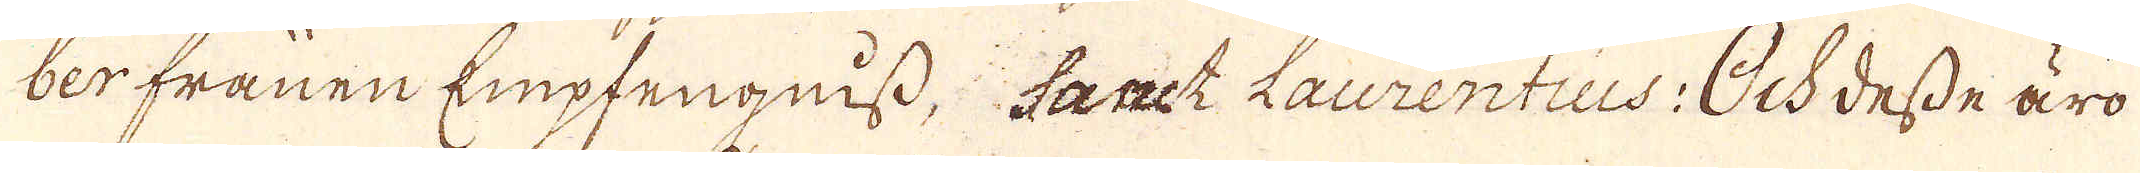berfrånen Empfengniss, sanct Laurentius: Och desse äro
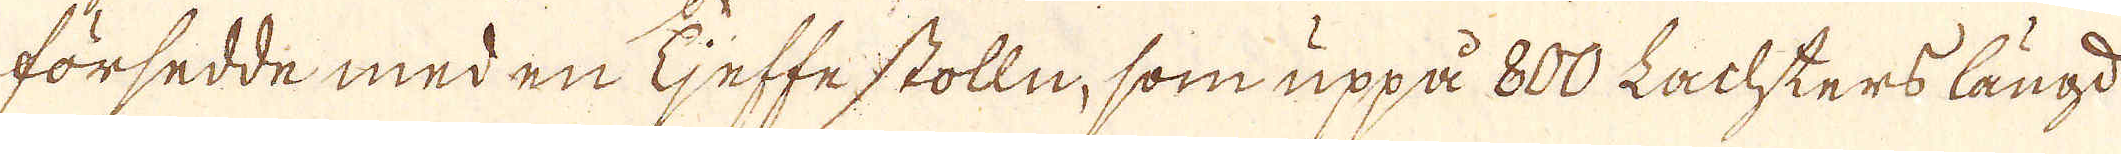försedde med en tjeffe stolln, som uppå 800 Lachters längd
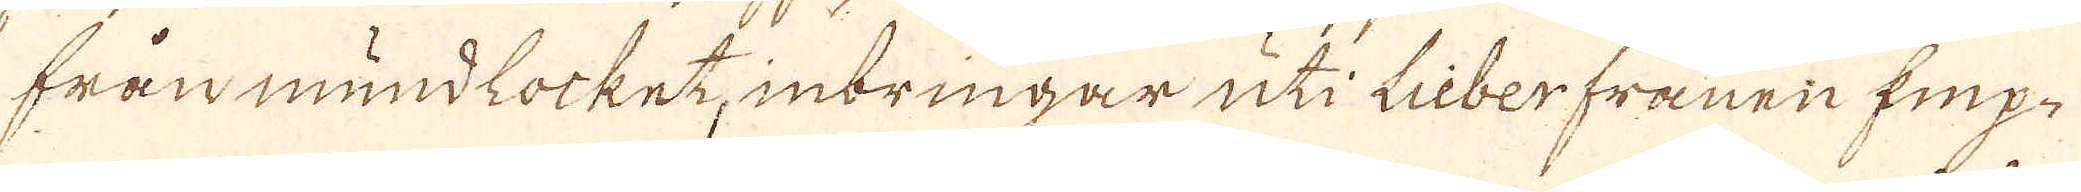från mundlocket, inbringar uti Liberframen Emp-
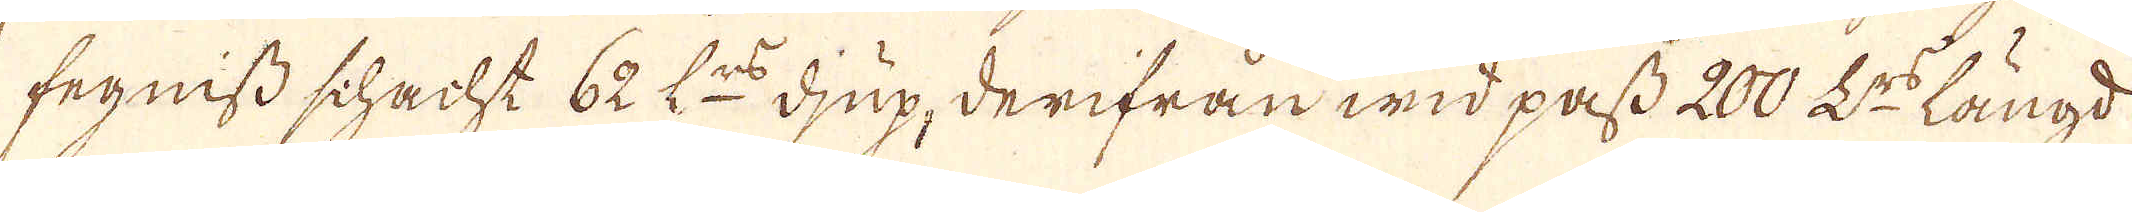fegniss schacht 62 L:rs djup, derifrån wid pass 200 L:rs längd
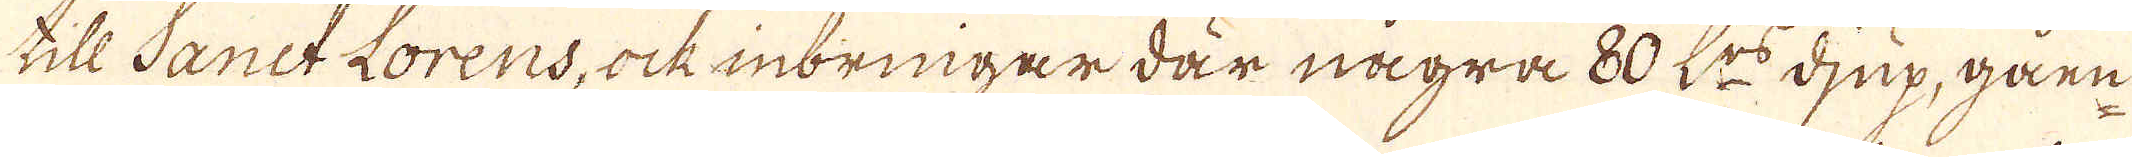till Sanct Lorens, ock inbringar där några 80 L:rs djup, gårn-
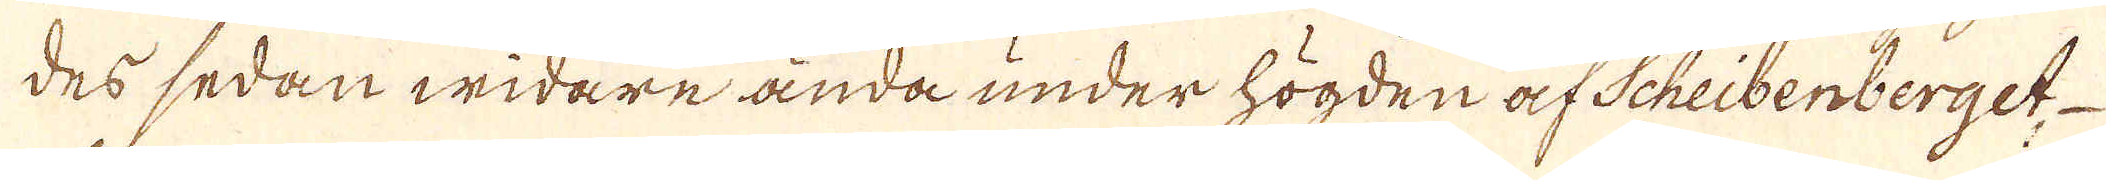des sedan widare ända under högden af Scheibenberget
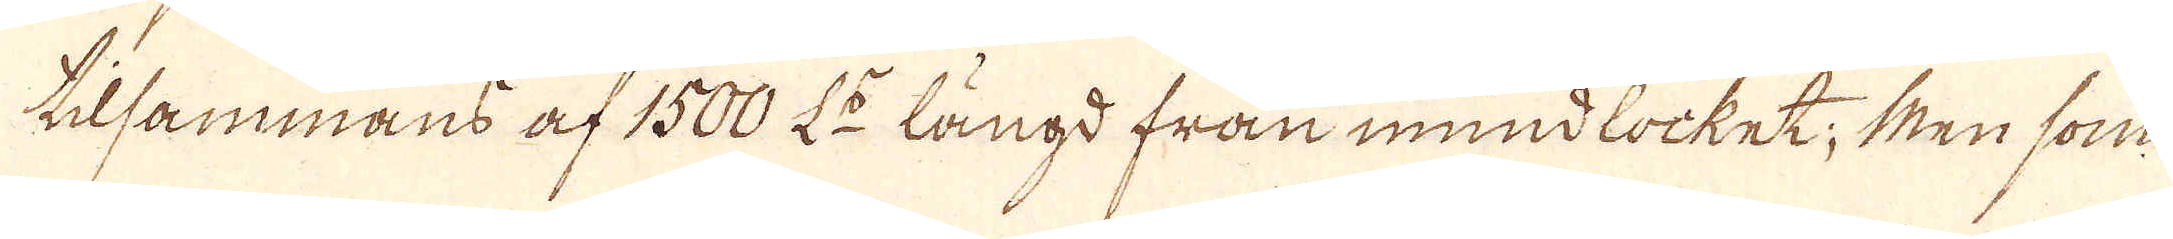tilsammans af 1500 L:r längd från mundlocket; Men som
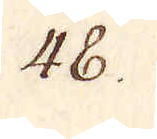48.
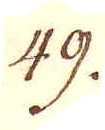49.
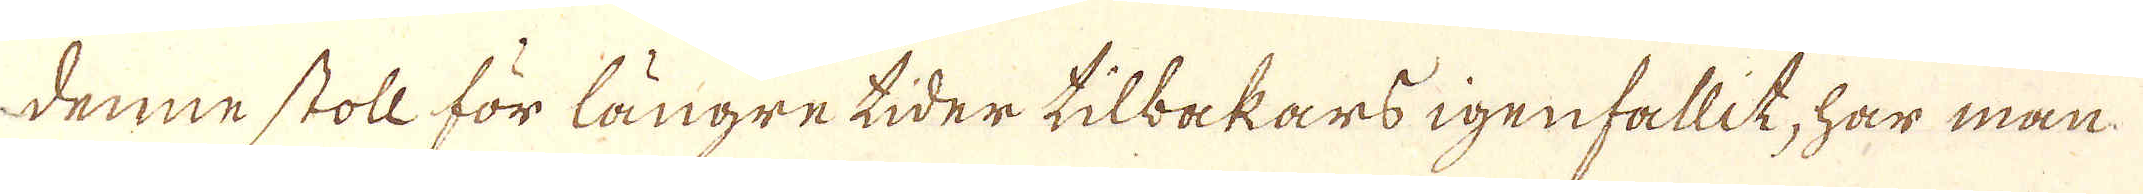denne stoll för längre tider tilbakars igenfallit, har man
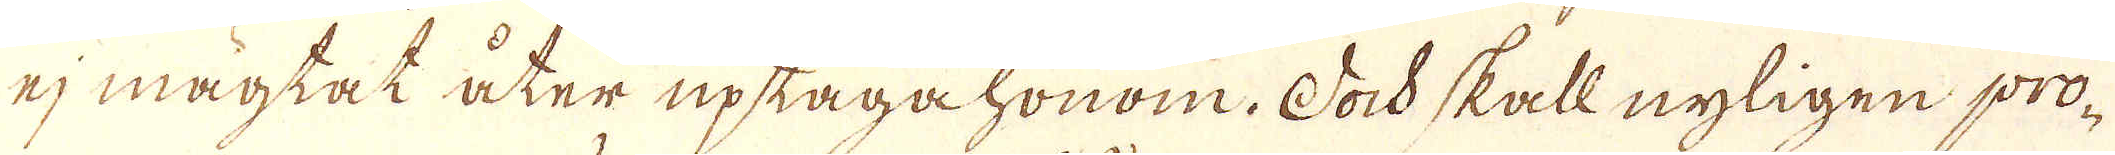ej magtat åter uptaga honom. Dock skall nyligen pro-
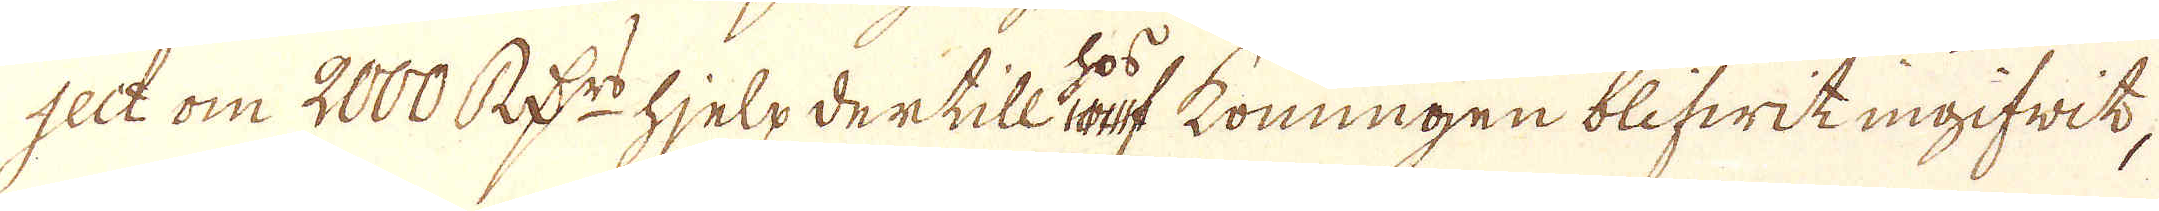selt om 2000 R:rs hjelp dertill af konungen blifwit ingifwit,
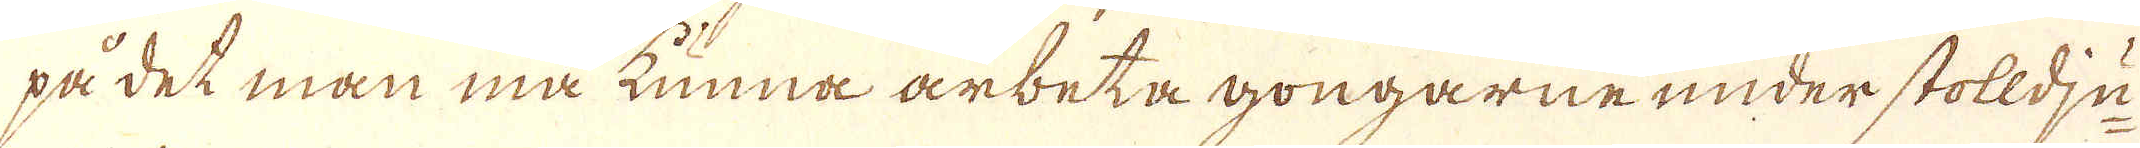på det man må kunna arbeta gongarne under stolldju-
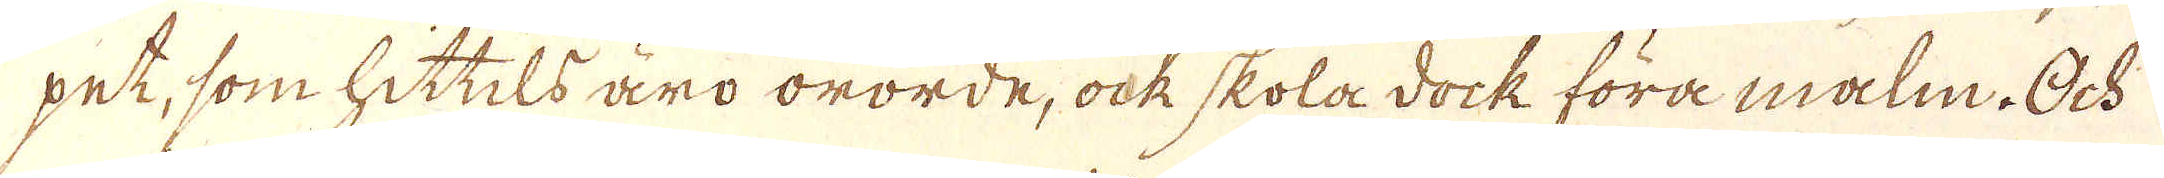pet, som hittils äro ororde, ock skola dock föra malm. Och
